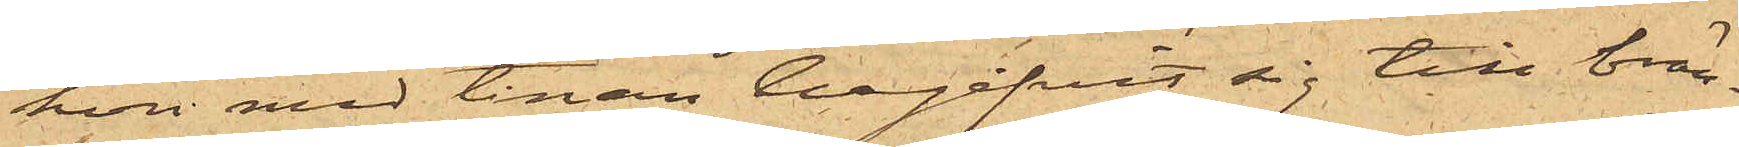hon med tinan begifvit sig till brän¬
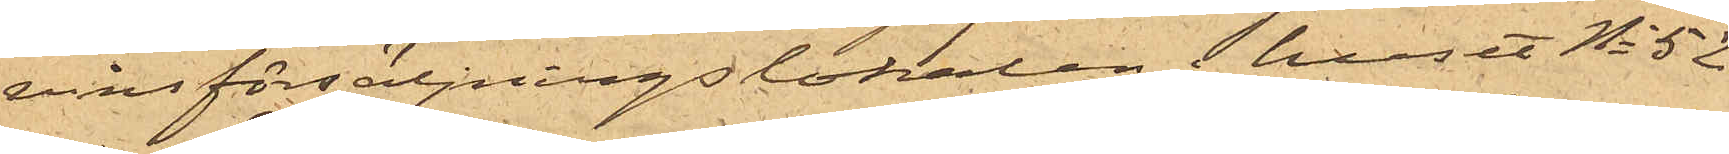vinsförsäljningslokalen i huset No 52
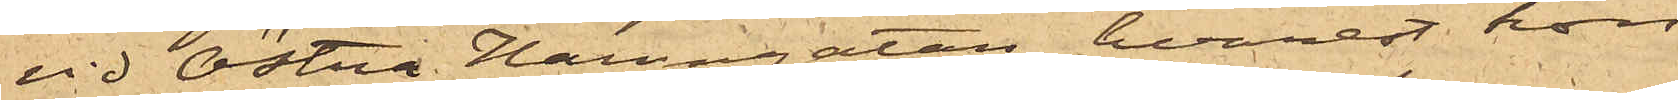vid Östra Hamngatan, hvarest hon
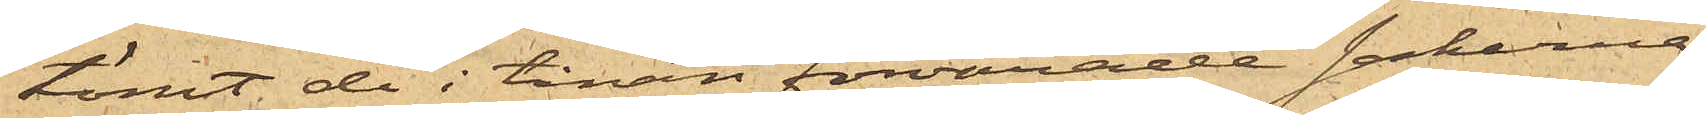tömt de i tinan förvarade sakerna
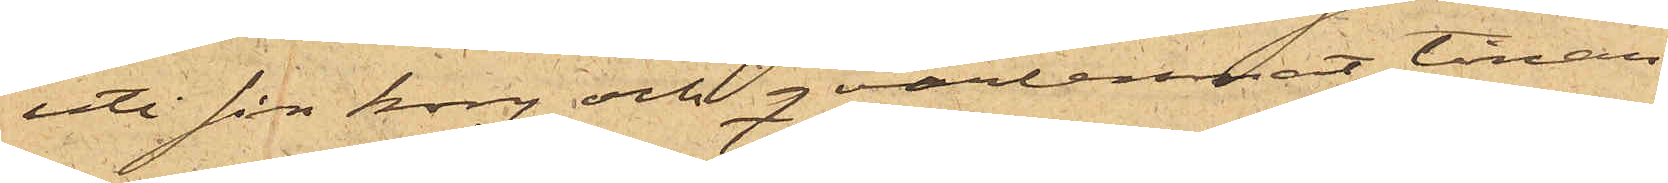uti sin korg och qvarlemnat tinan.
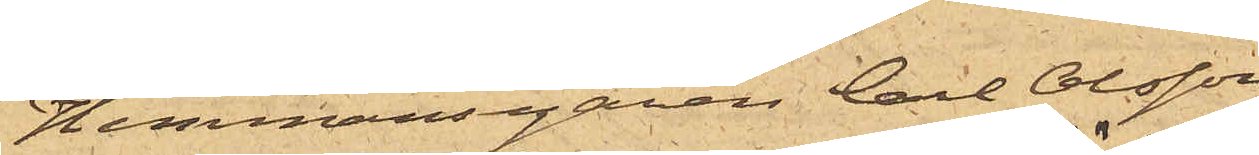Hemmansegaren Carl Olsson
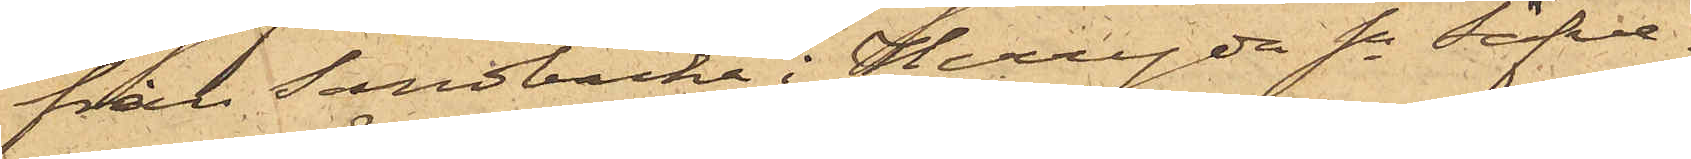från Sandbacka i Herryda sn Säfve¬
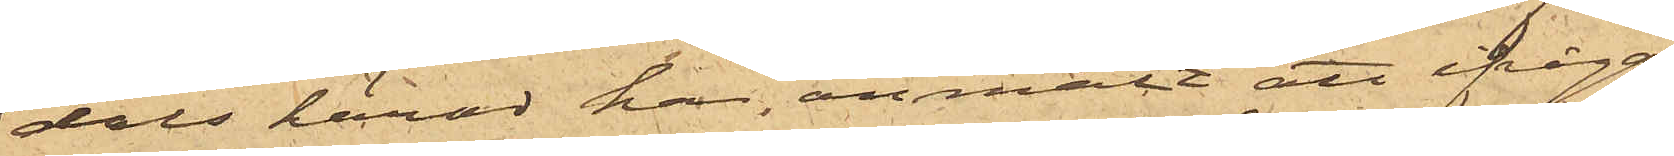dals härad har anmält att ifråga¬
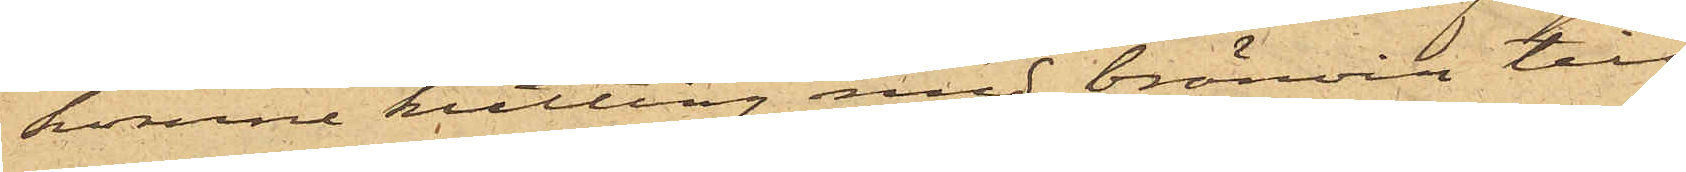komne kutting med bränvin till¬
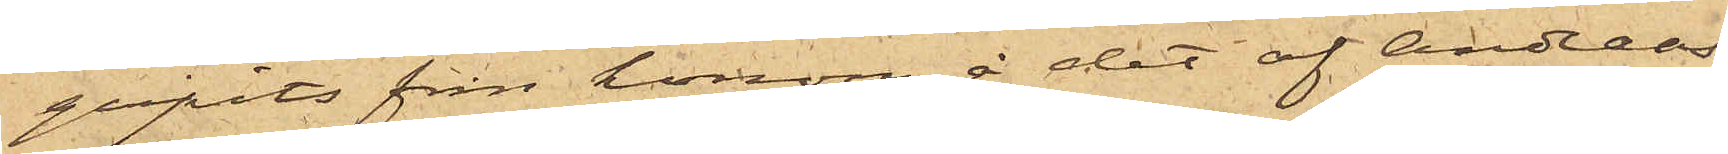gripits från honom å det af Andreas¬
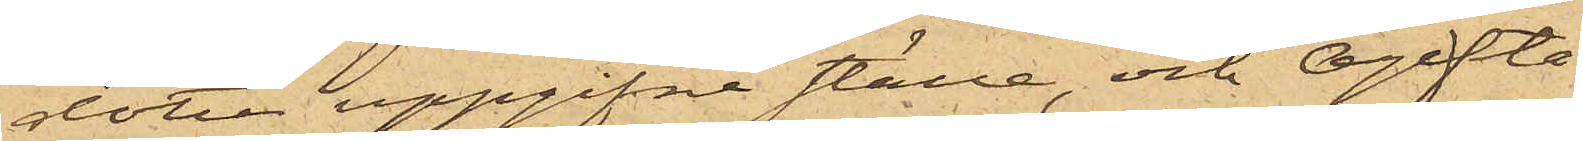dotter uppgifne ställe, och Ogifta
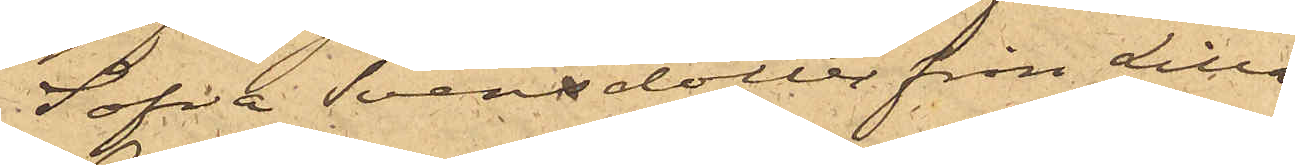Sofia Svensdotter från Lilla
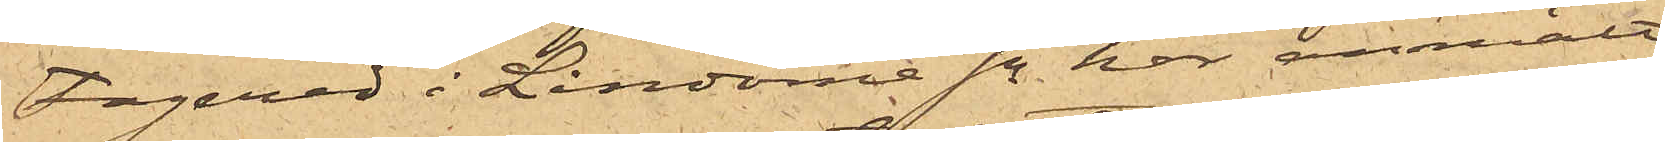Fagered i Lindome sn har anmält
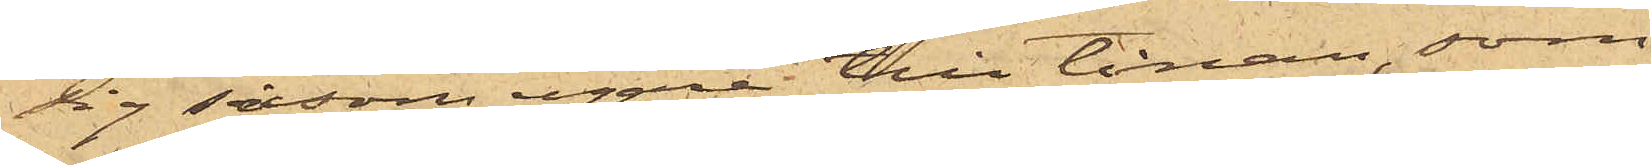sig såsom egare till tinan, som
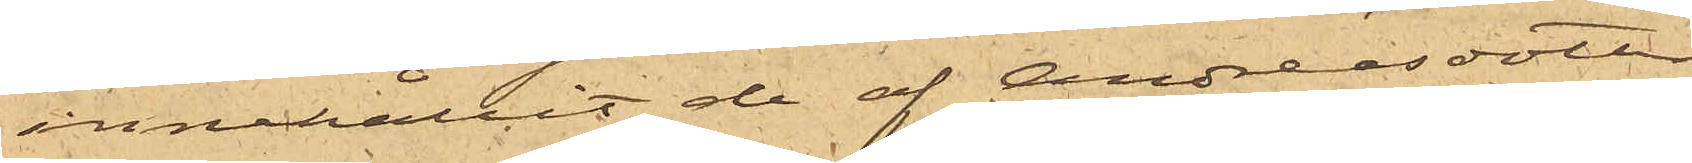innehållit de af Andreasdotter
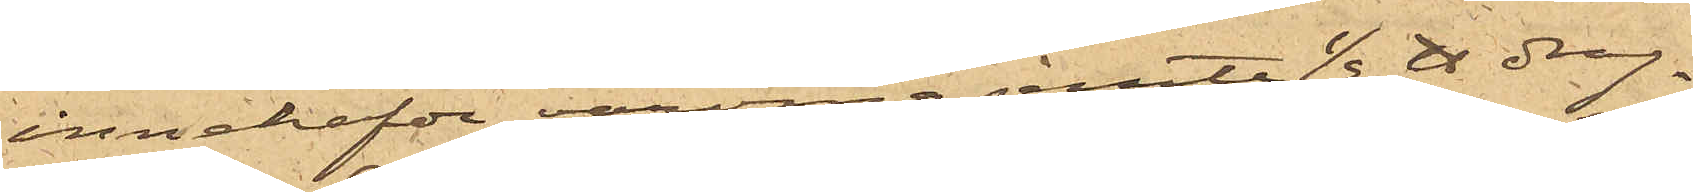innehafde varorna jemte 1/2 ℔ drag¬
